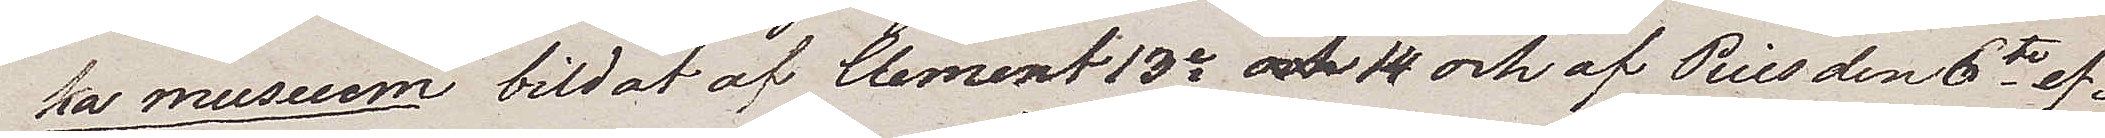ka museum bildat af Clement13e och 14 och af Pius den 6te ef¬
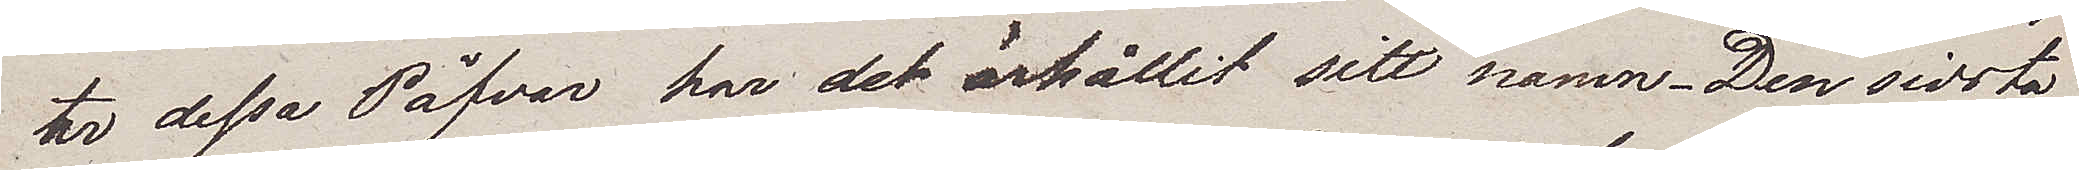ter dessa Påfvar har det ärhållit sitt namn. Den sidsta
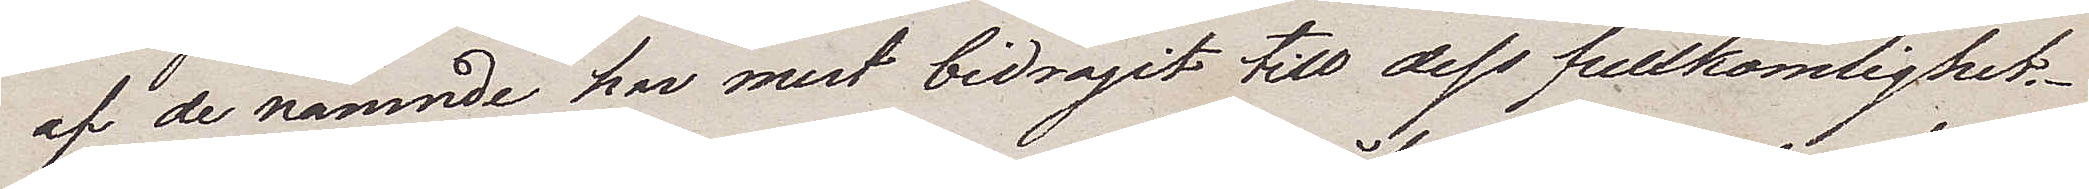af de nämnde har mest bidragit till dess fullkomlighet.
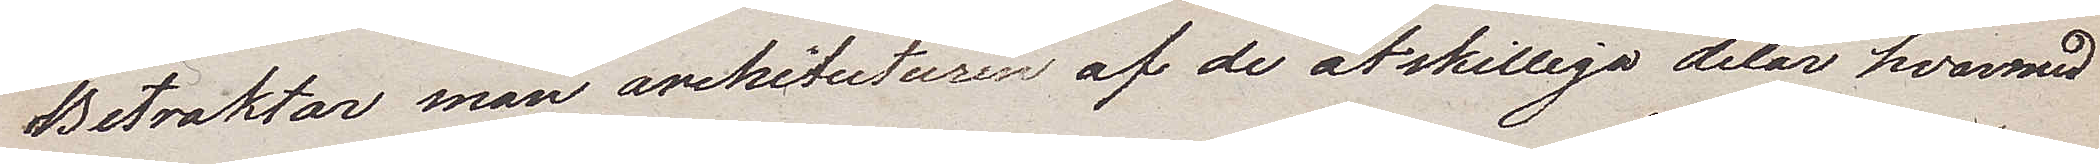Betraktar man arhitecturen af de åtskilliga delar hvarmed
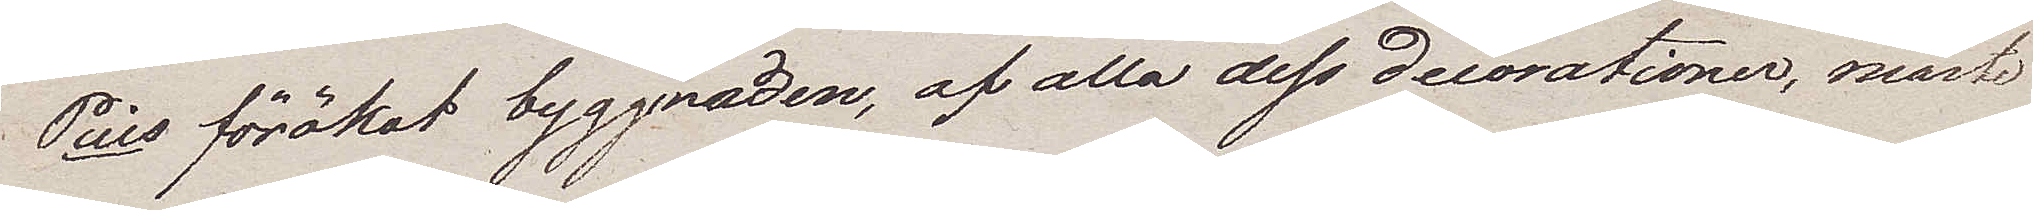Pius förökat byggnaden, af alla dess decorationer, måste
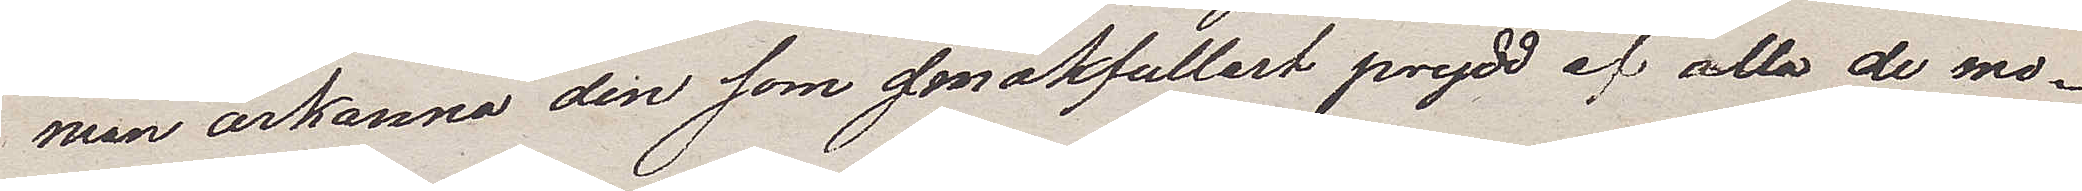man ärkänna den som smakfullast prydd af alla de mo¬
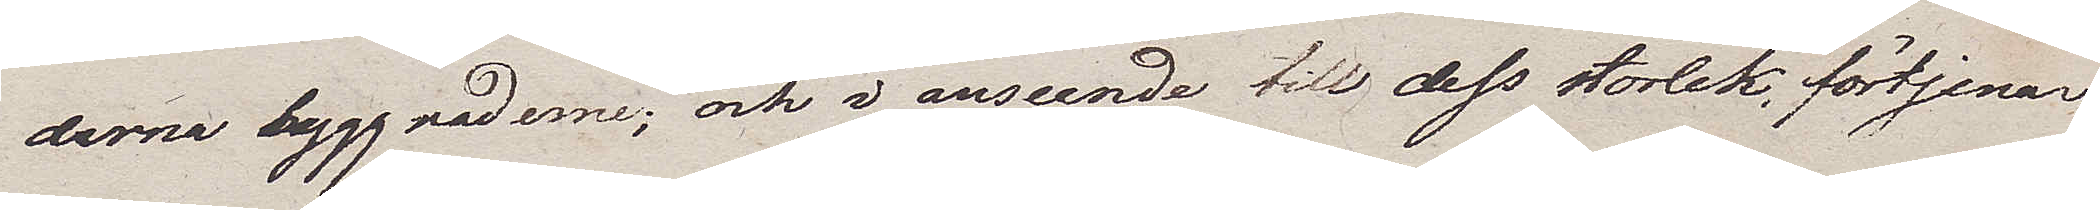derna byggnaderne; och i anseende till dess storlek förtjenar
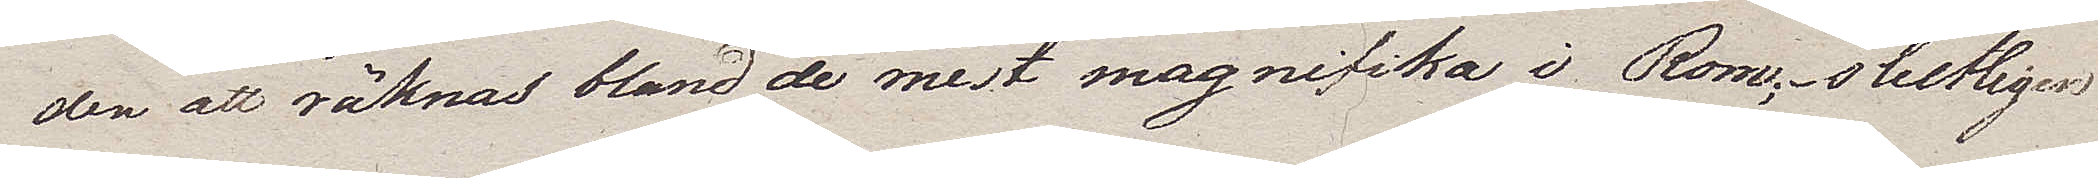den att räknas bland de mest magnifika i Rom; slutligen
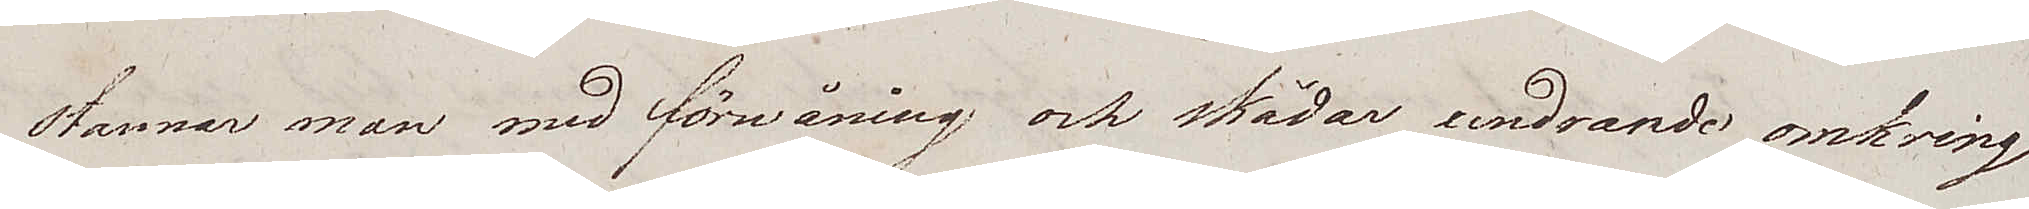stannar man med förwåning och skådar undrande omkring
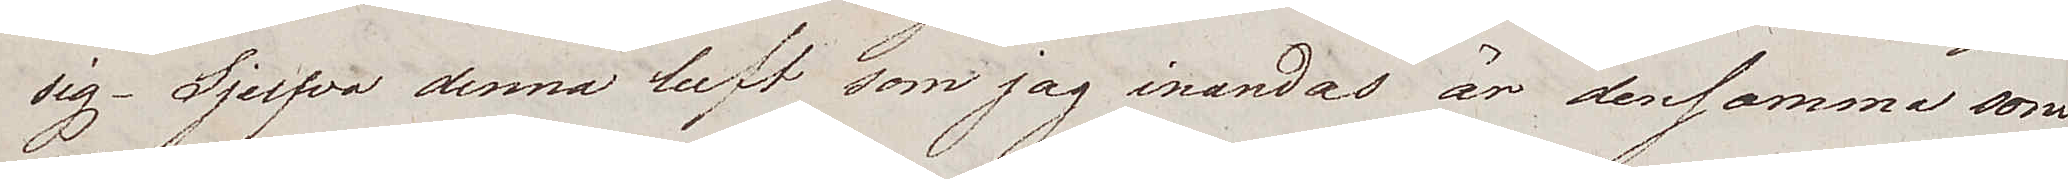sig. Sjelfva denna luft som jag inändas är densamma som
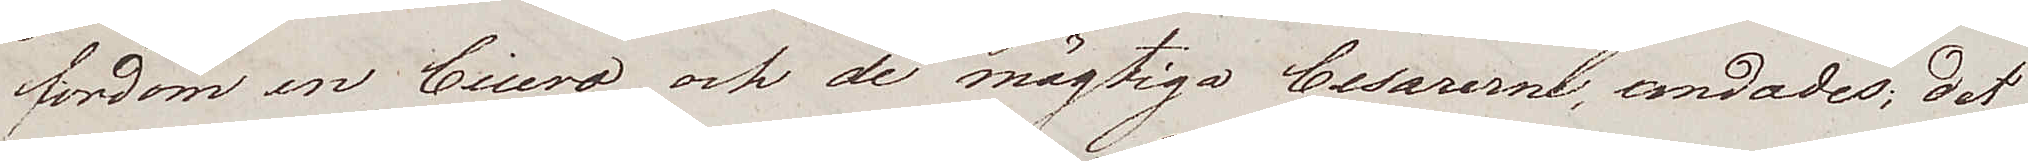fordom en Cicero och de mägtiga Cesarerne, andades; det
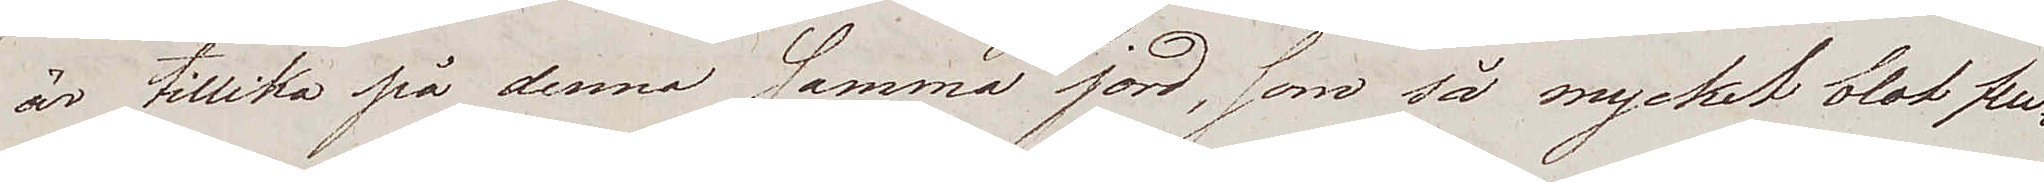är tillika på denna samma jord, som så mycket blot flu¬
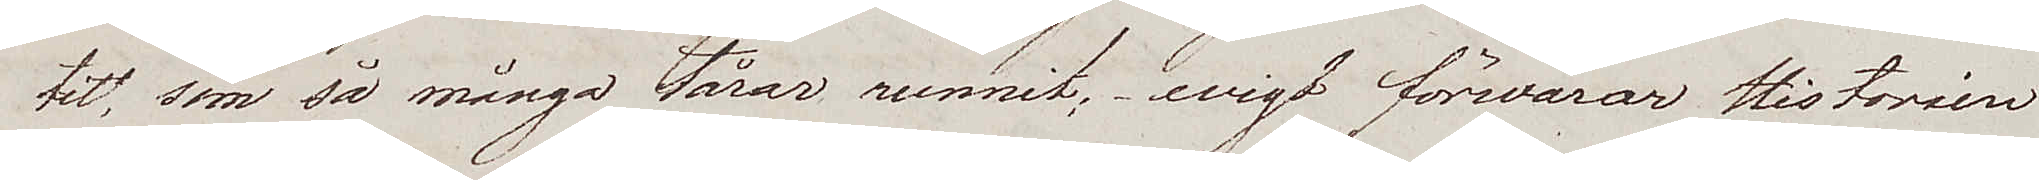tit, som så många tårar runnit; evigt förwarar Historien
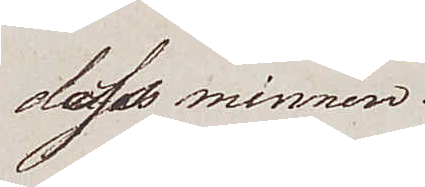dess minnen.
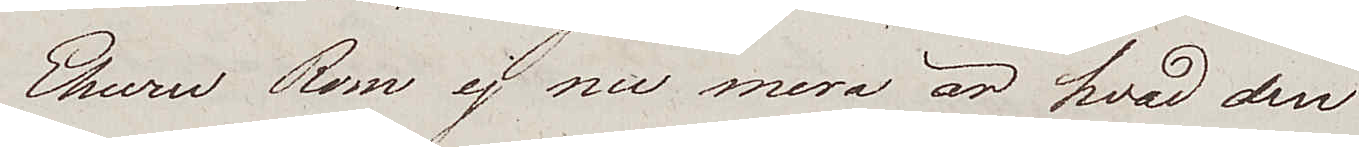Ehuru Rom ej nu mera är hvad den
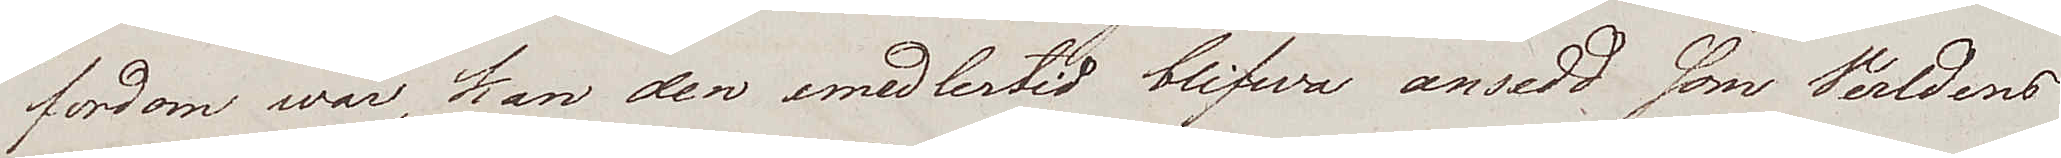fordom war, kan den emedlertid blifwa ansedd som Verldens
